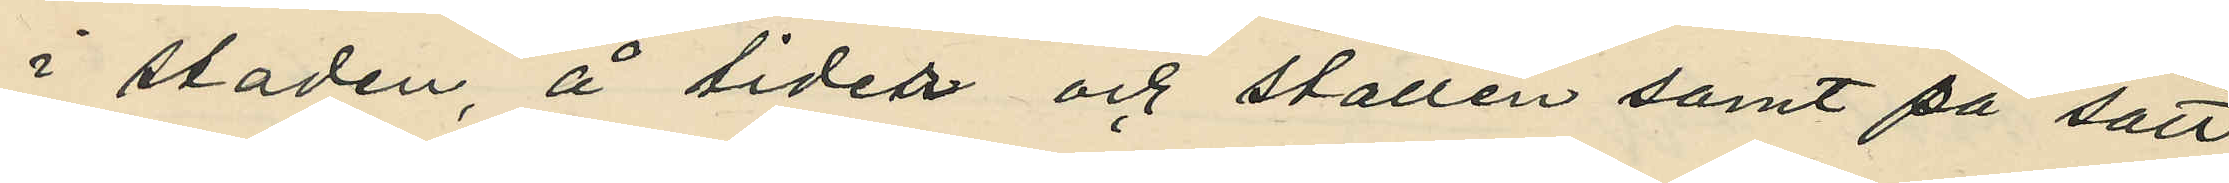i staden, å tider och ställen samt på sätt
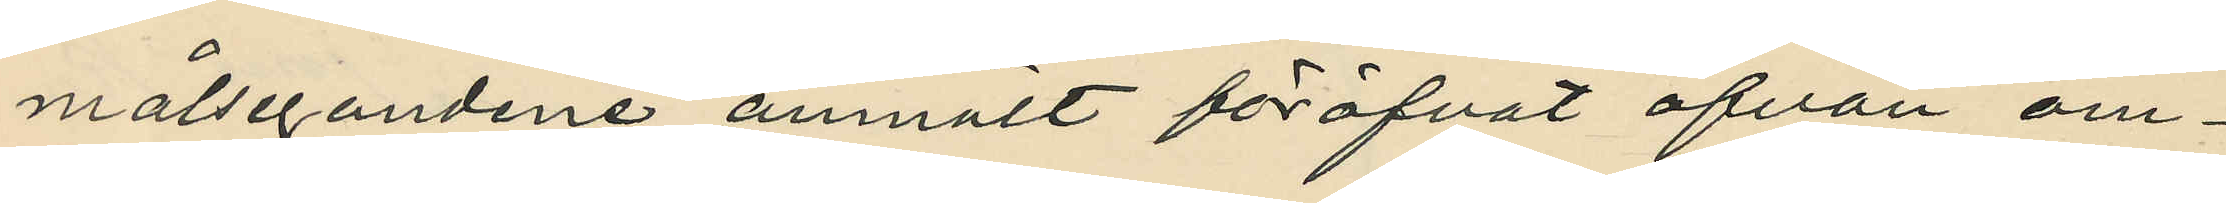målsegandene anmält föröfvat ofvan om¬
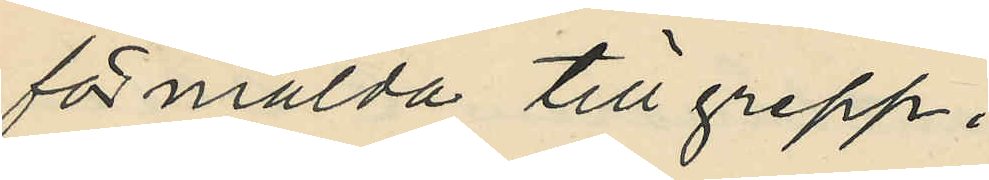förmälda tillgrepp;
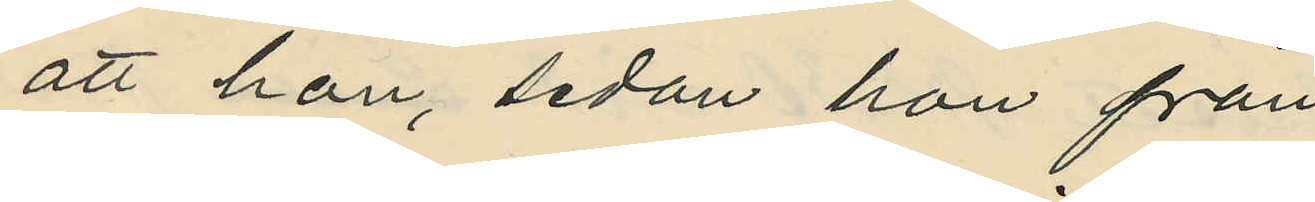att hon, sedan hon från
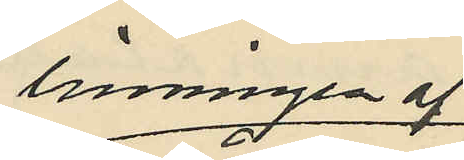linningen af
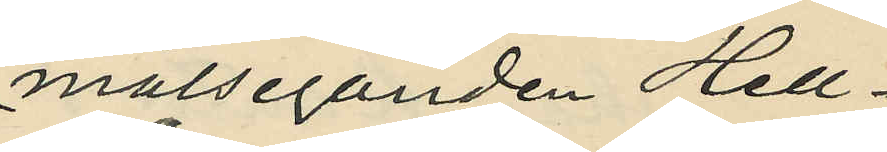målseganden Hell¬
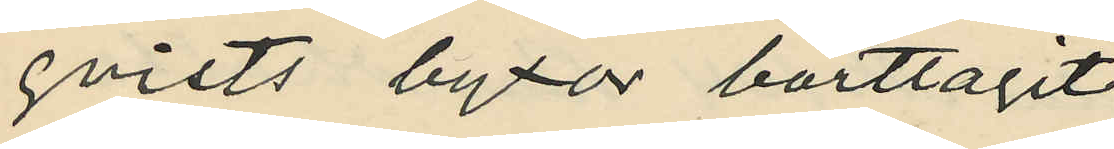qvists byxor borttagit
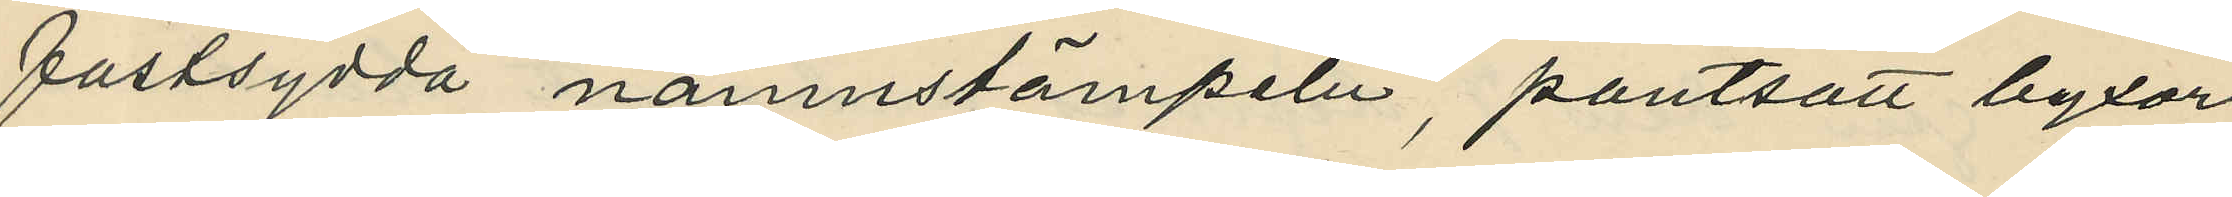fastsydda namnstämpeln, pantsatt byxor¬
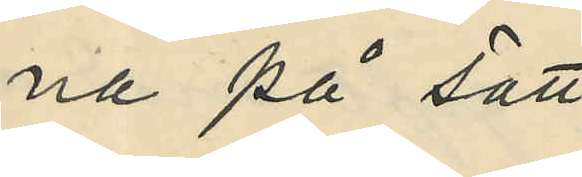na på sätt
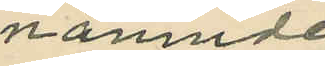nämnde
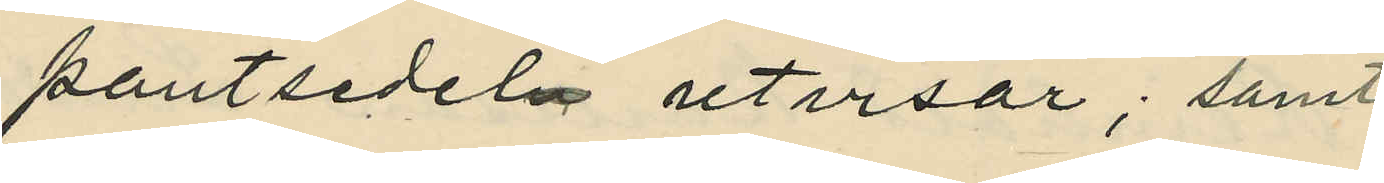pantsedeln utvisar; samt
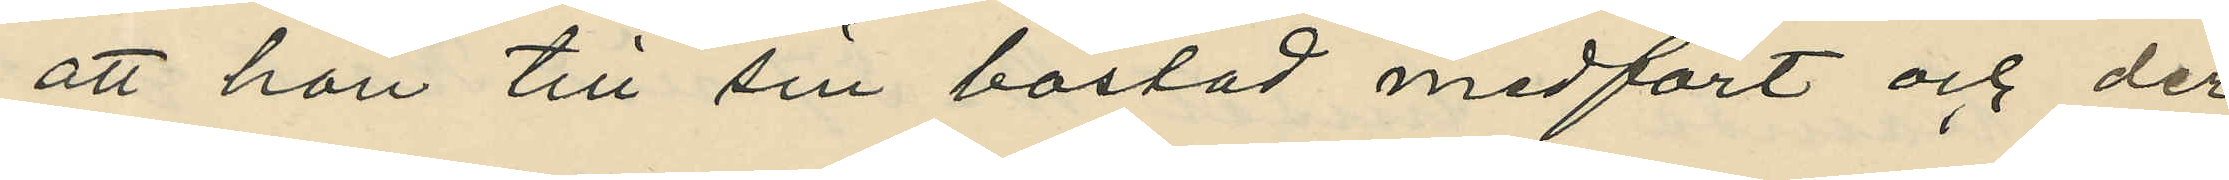att hon till sin bostad medfört och der
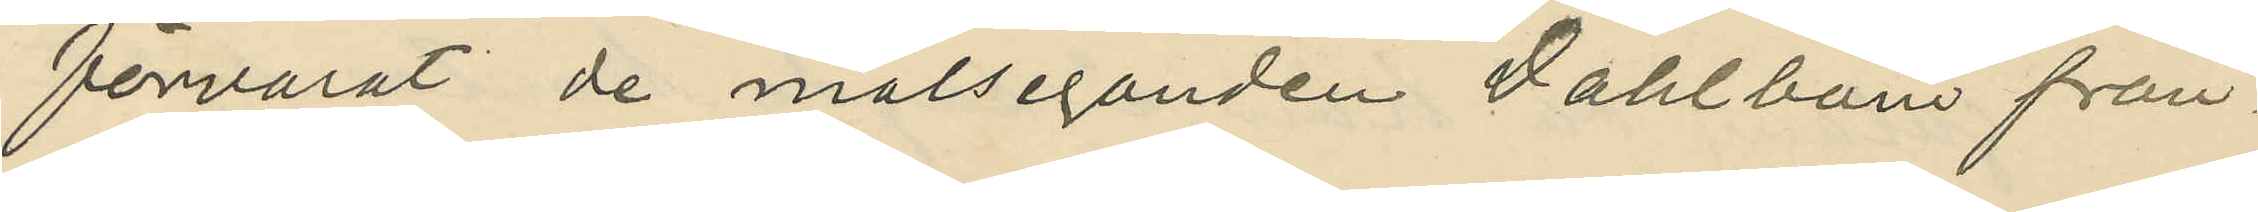förvarat de målseganden Dahlbom från¬
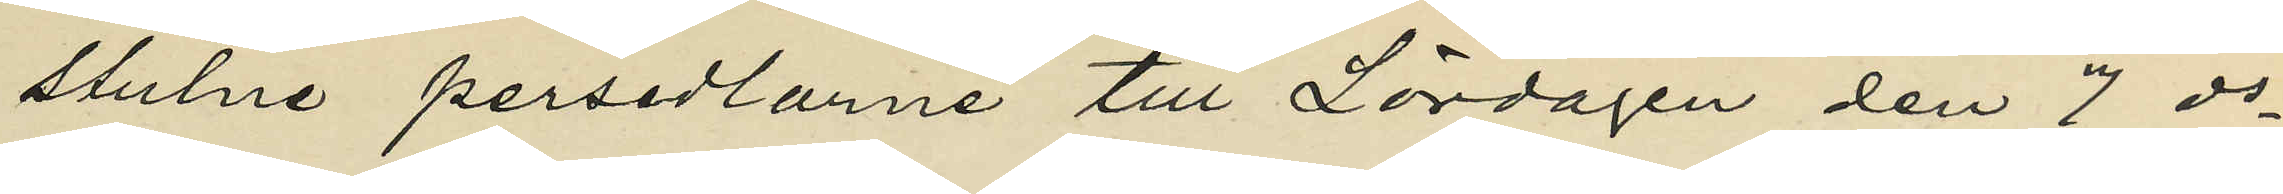stulne persedlarne till Lördagen den 7 ds
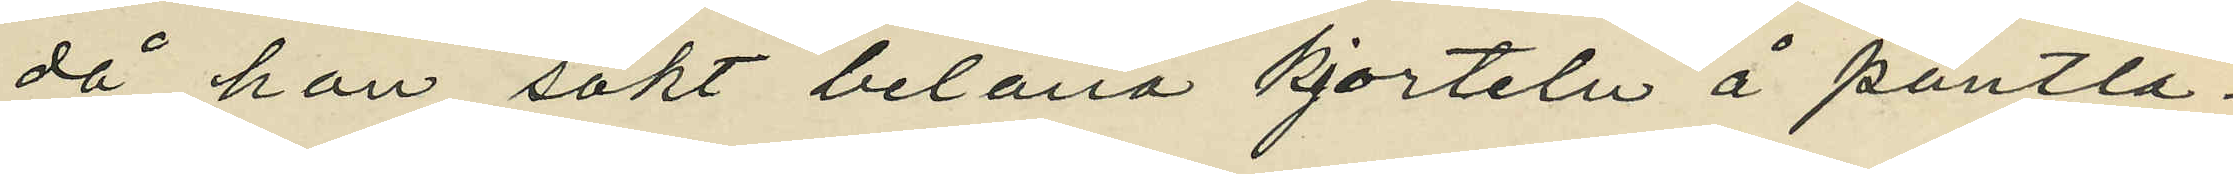då han sökt belåna kjorteln å pantlå¬
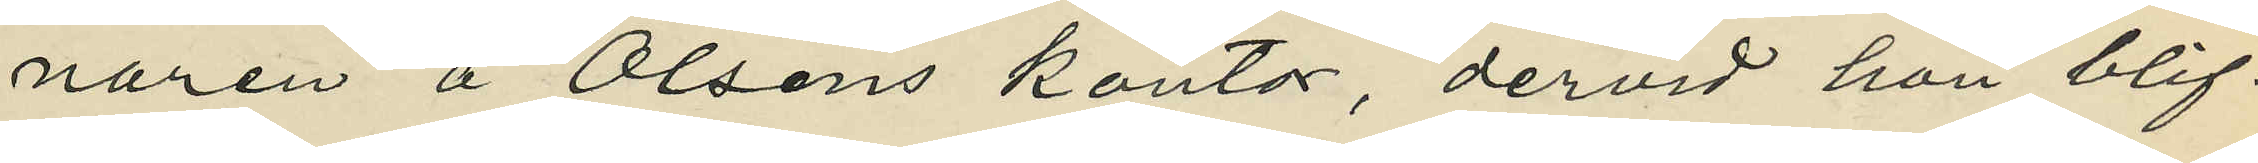naren å Olséns kontor, dervid hon blif¬
